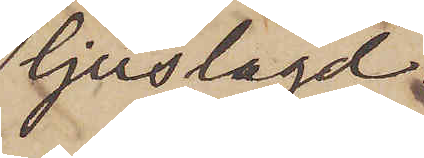ljuslagd
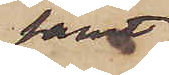samt
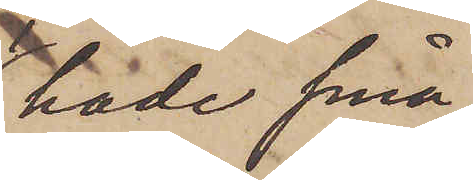hade små
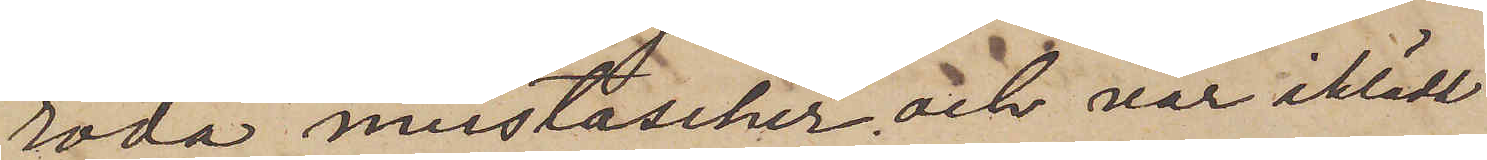röda mustascher och var iklädd
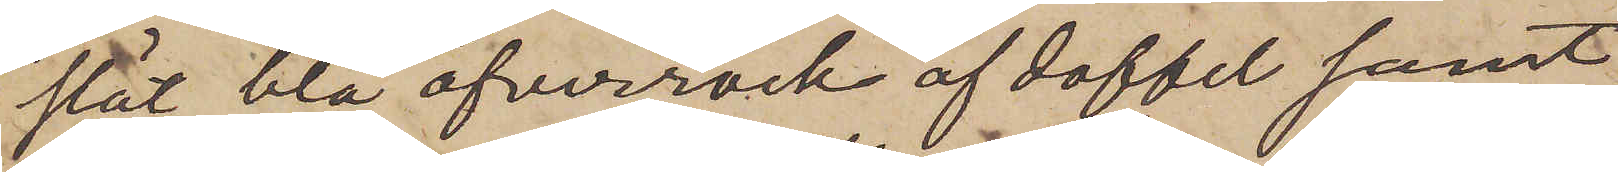slät blå öfverrock af doffel samt
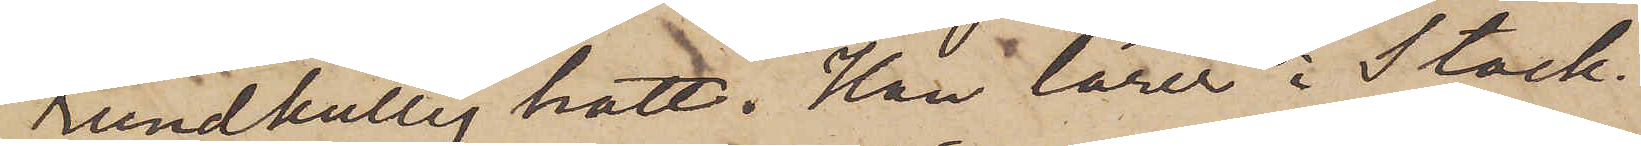rundkullig hatt. Han lärer i Stock¬
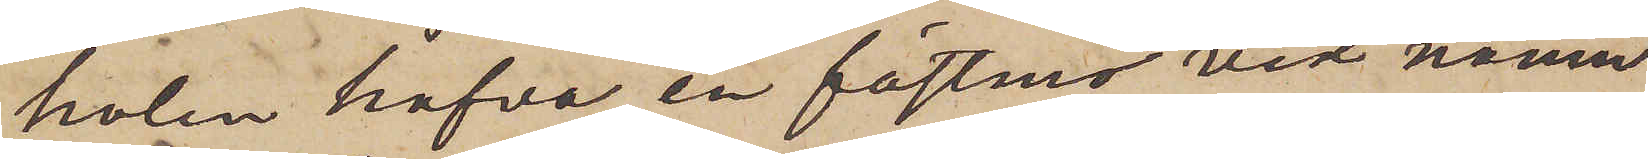holm hafva en fastmö vid namn
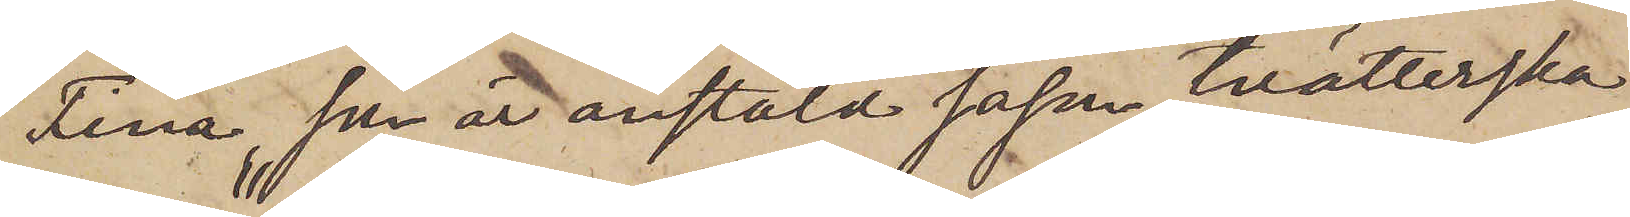Fina, som är anstäld såsom tvätterska
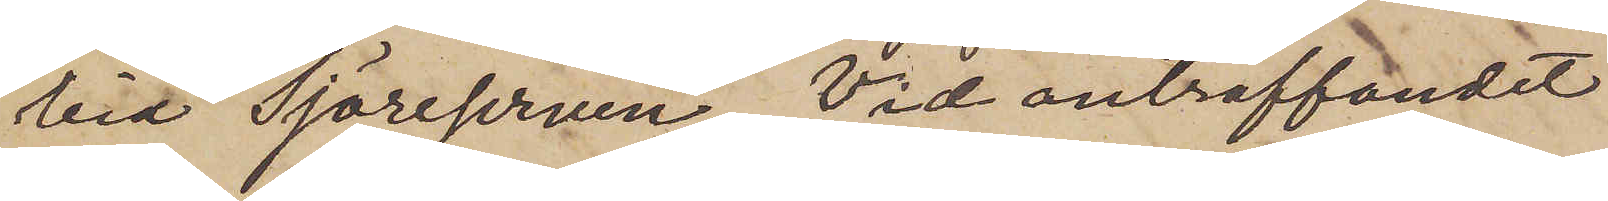vid "Sjöreserven". Vid anträffandet
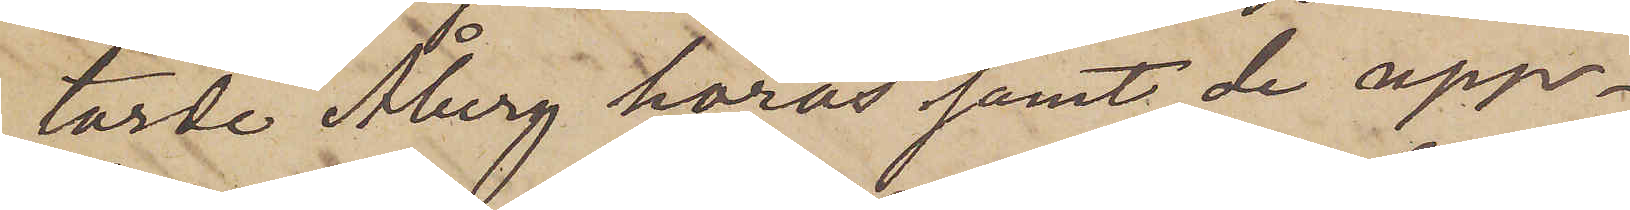torde Åberg höras samt de upp¬
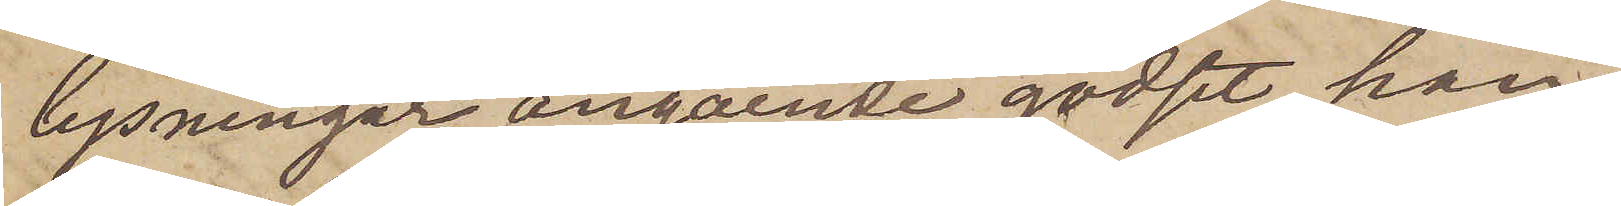lysningar angående godset, han
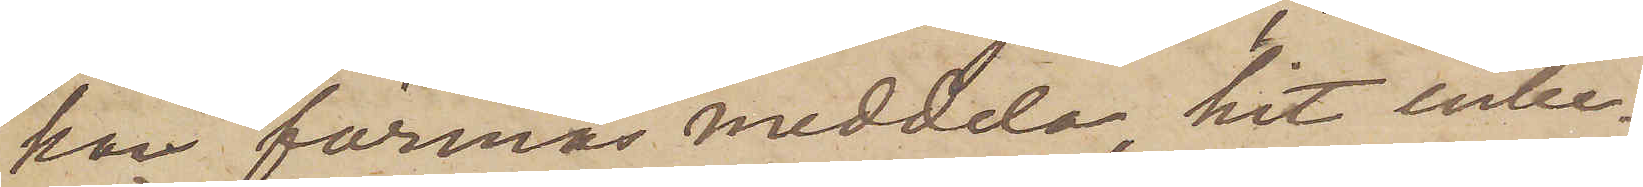kan förmås meddela, hit inbe¬
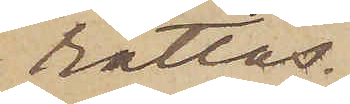rättas.
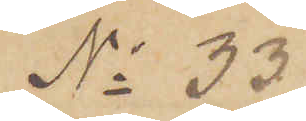No 33
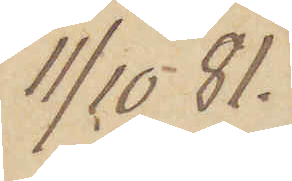11/10  81.
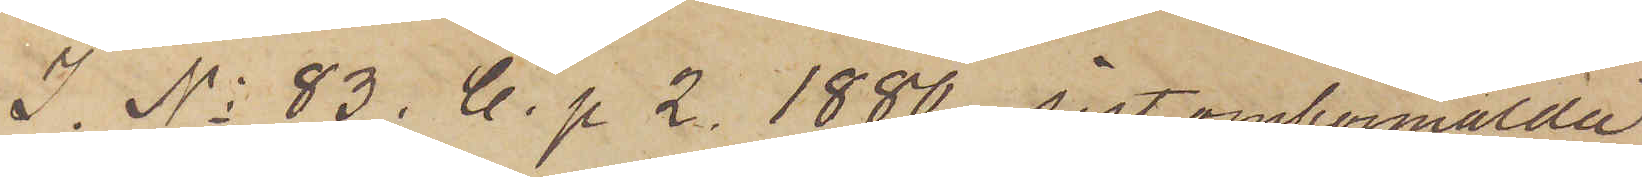I. No 83. C. p 2. 1880 sistomförmälda
